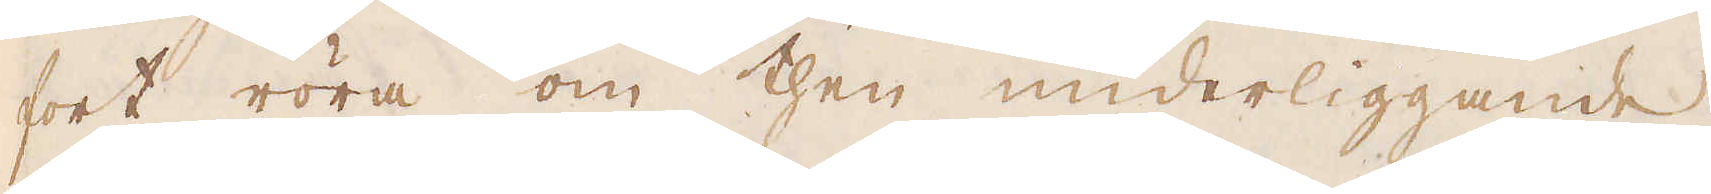fort röra om then underliggande
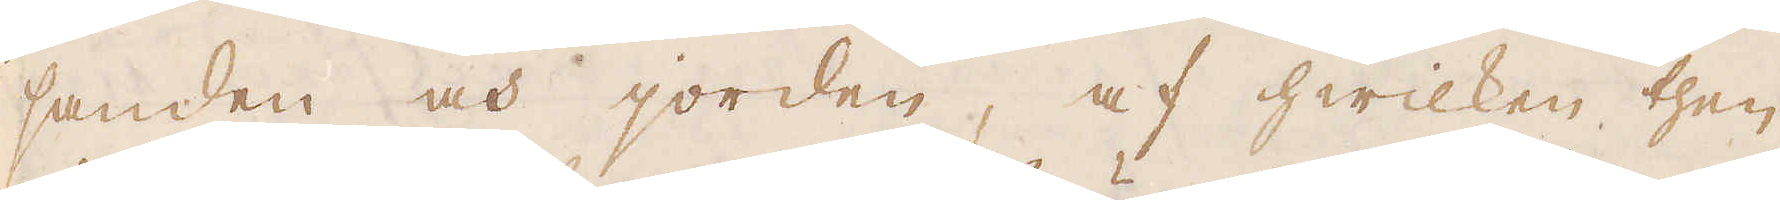sanden och jorden, af hwilken then
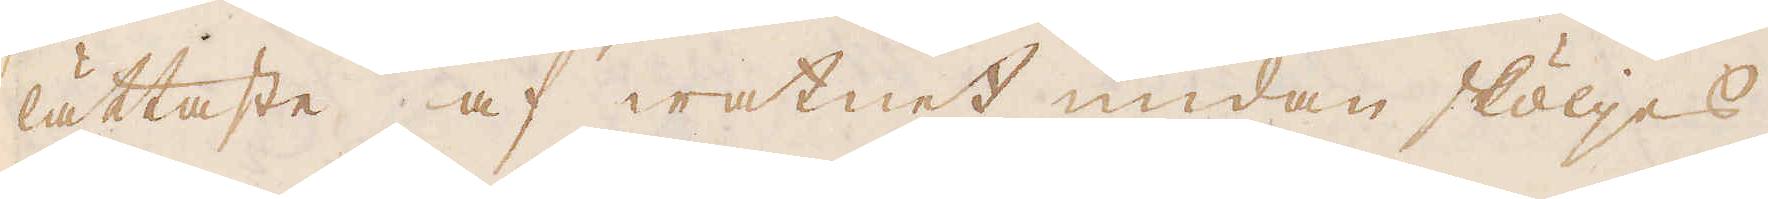lättaste af watnet undan sköljes.
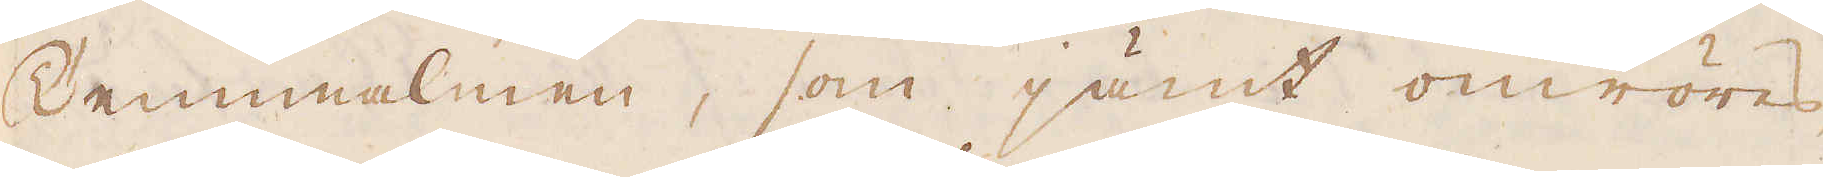Tennmalmen, som jämt omröres,
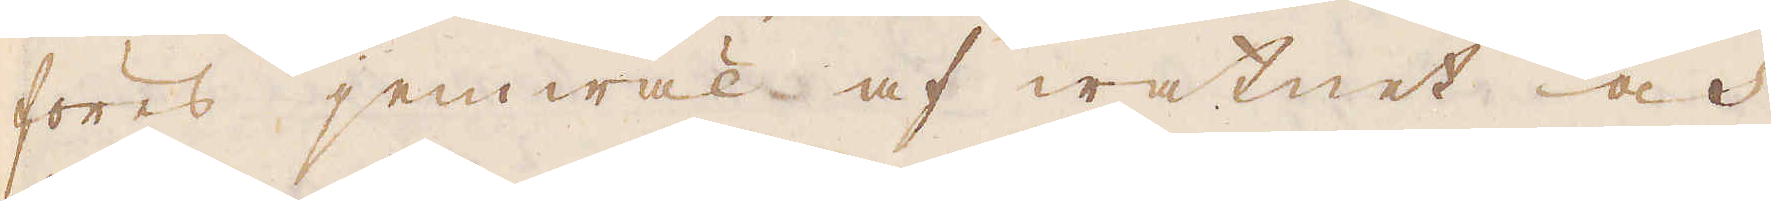föres jemwäl af watnet och
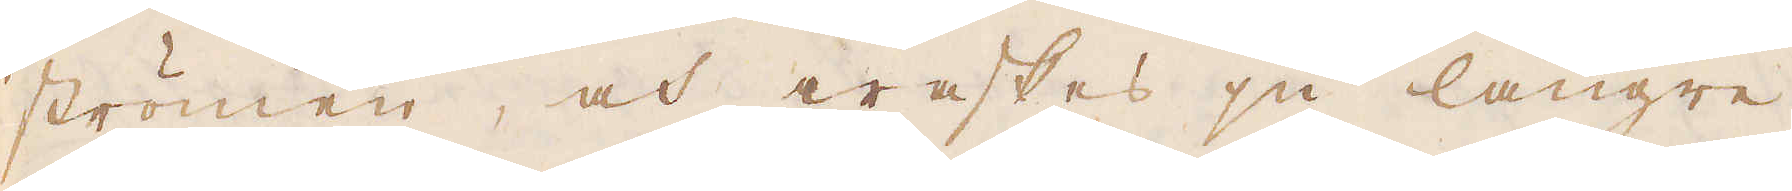strömen, och waskes ju längre
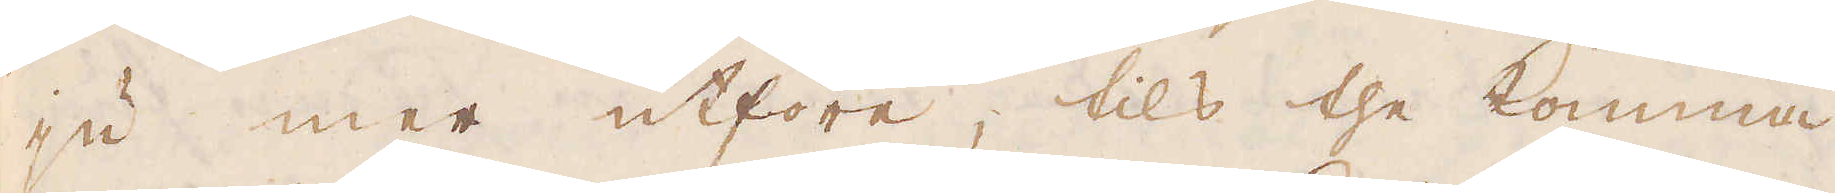ju mer utföre, tils the komma
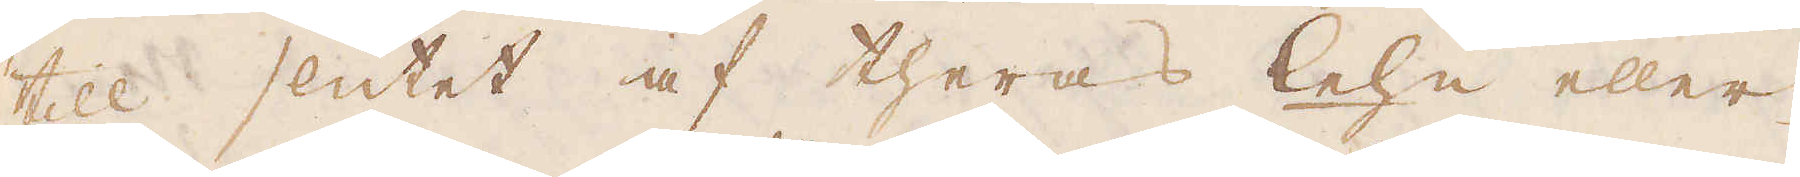till slutet af theras lehn eller
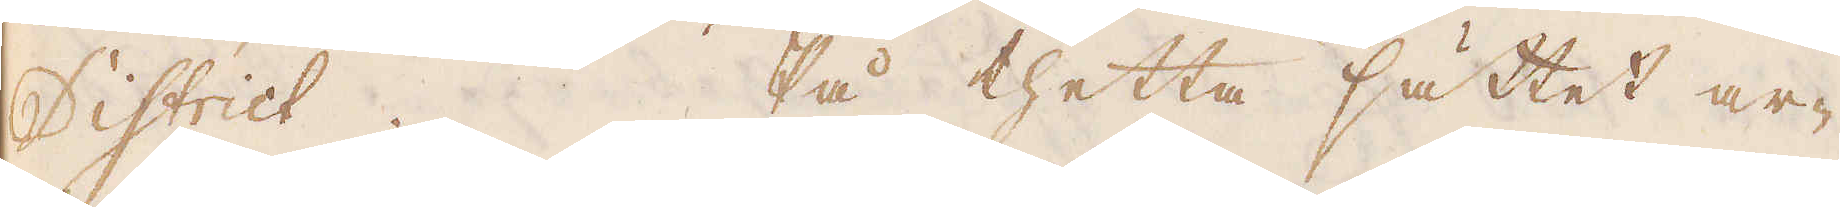District. På thetta sättet ar-
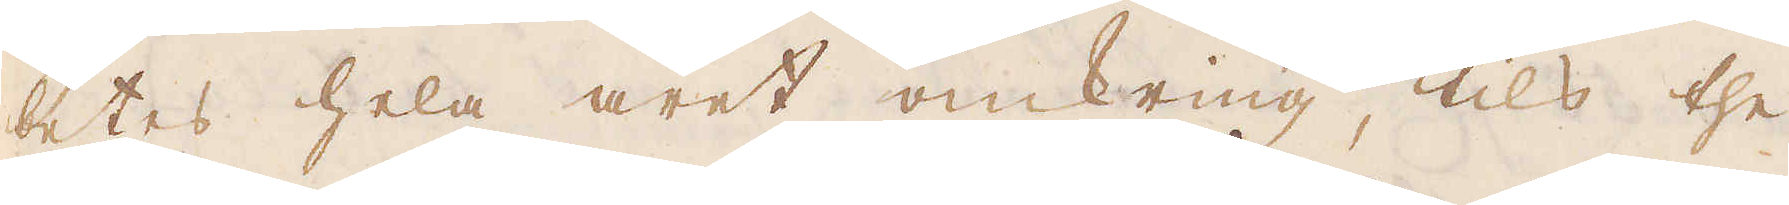betes hela året omkring, tils the
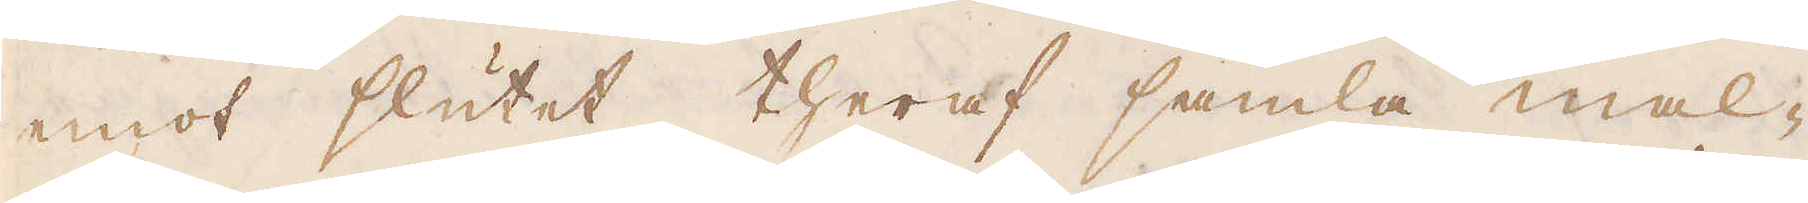emot slutet theraf samla mal-
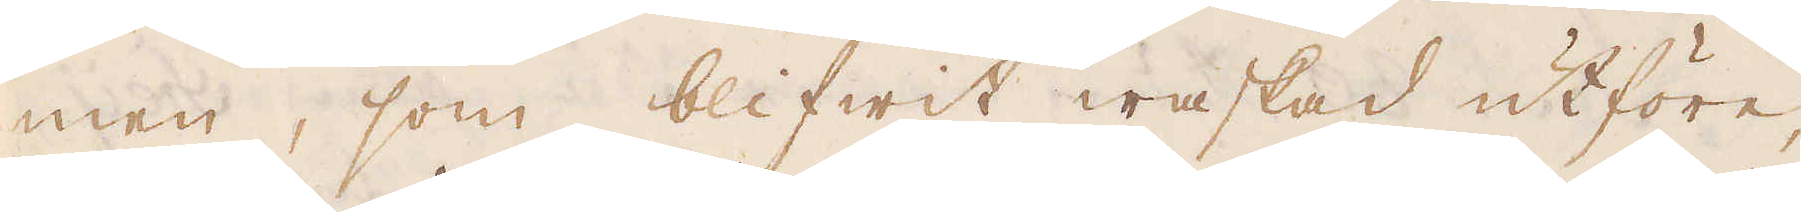men, som blifwit waskad utföre,
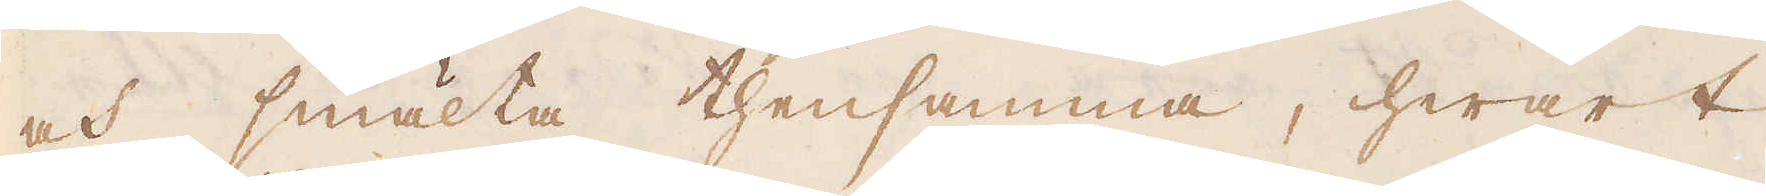och smälta thensamma, hwart
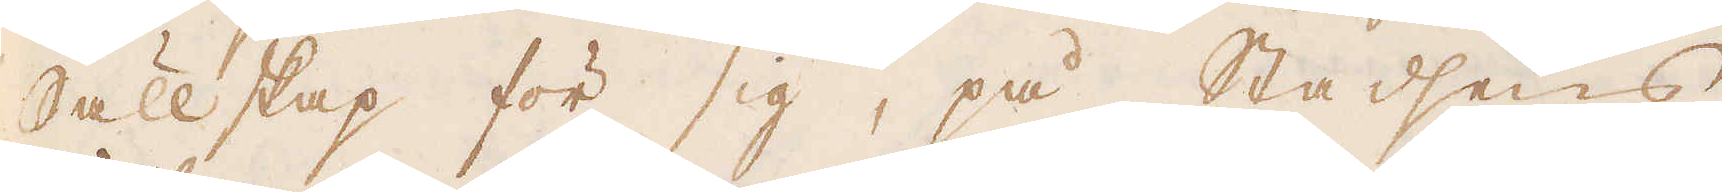Sällskap för sig, på Stadsens
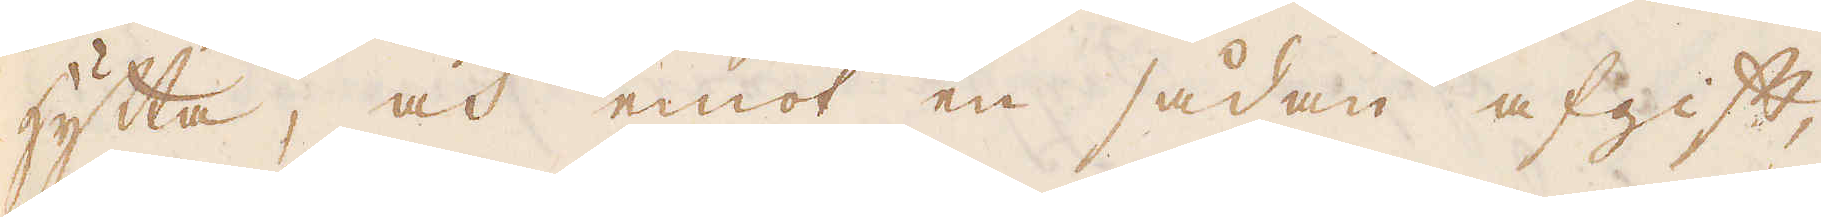hytta, och emot en sådan afgift,
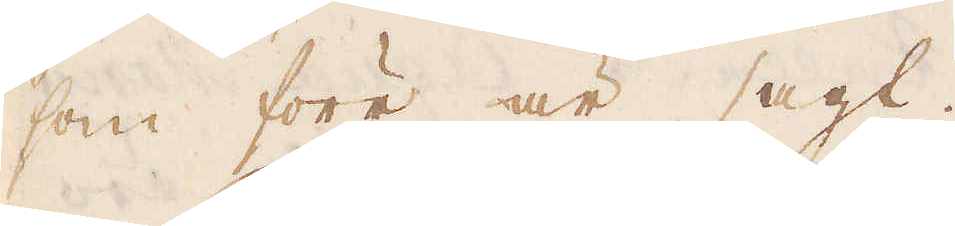som förr är sagt.
